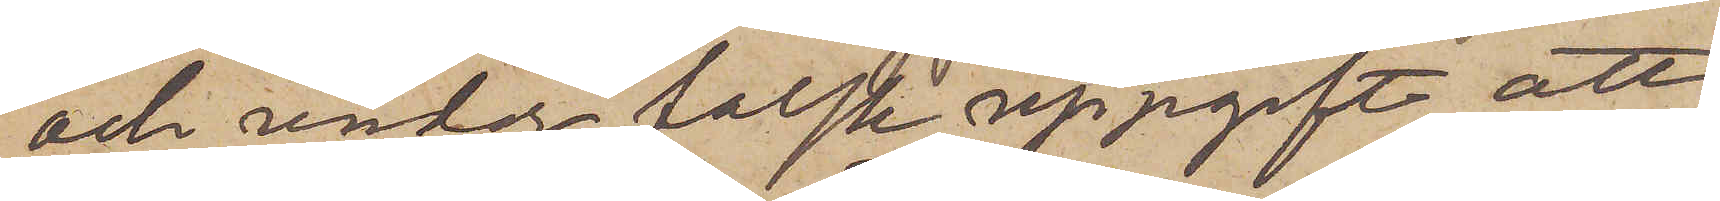och under falsk uppgift att
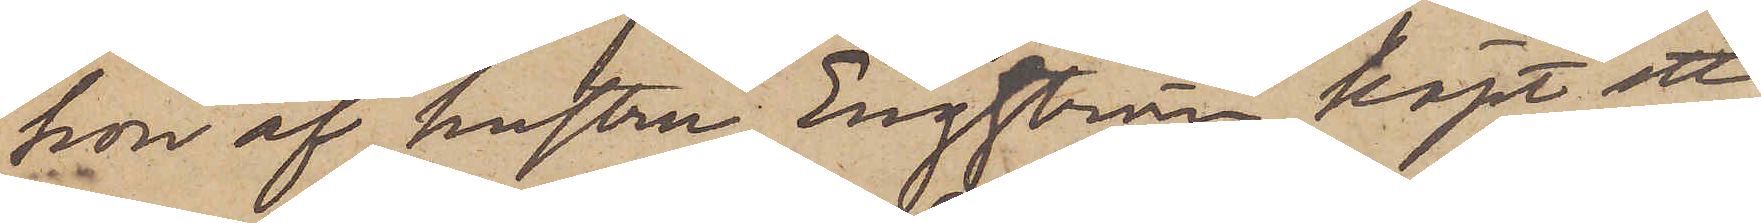hon af hustru Engström köpt ett
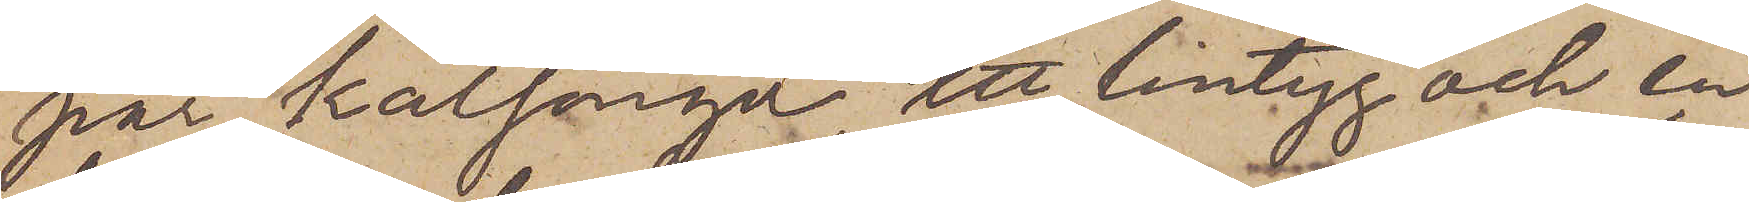par kalsonger, ett lintyg och en
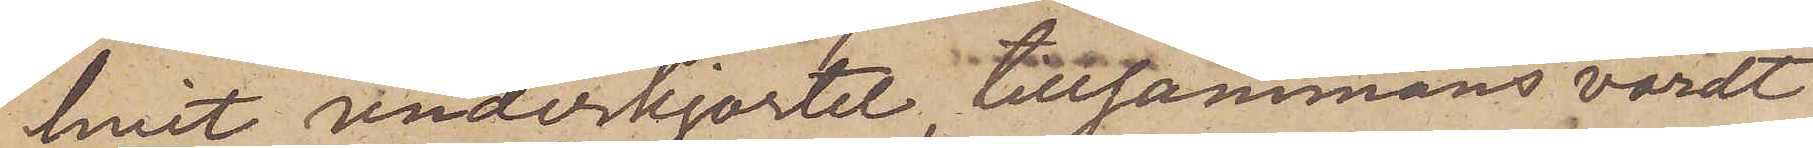hvit underkjortel, tillsammans värdt
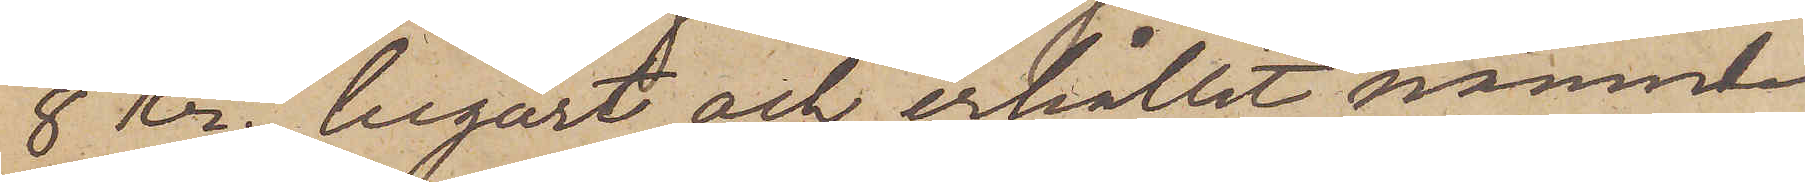8 Kr., begärt och erhållit nämnde
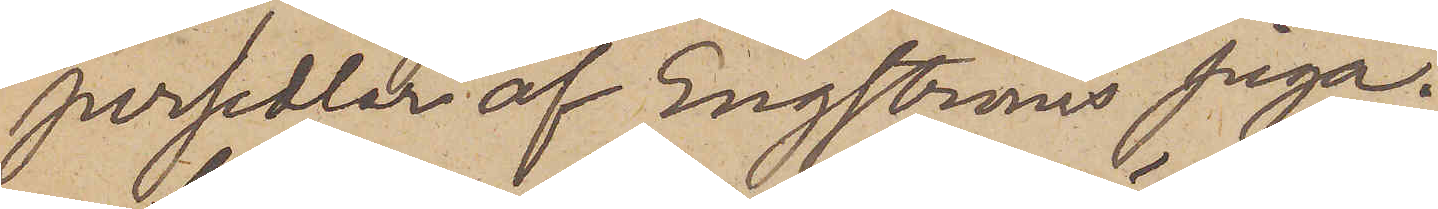persedlar af Engströms piga.
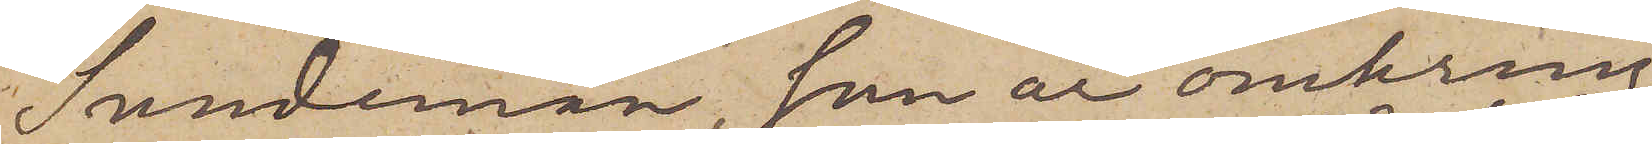Sundeman, som är omkring
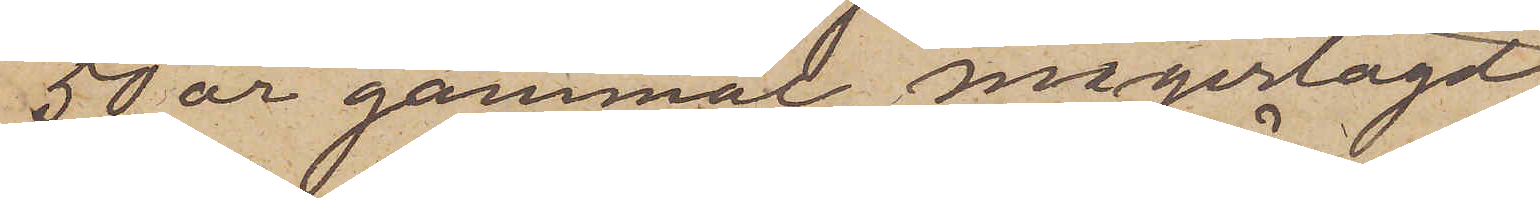50 år gammal, magerlagd,
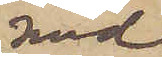med
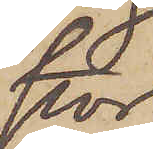stor
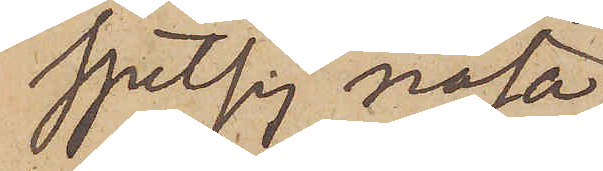spetsig näsa
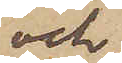och
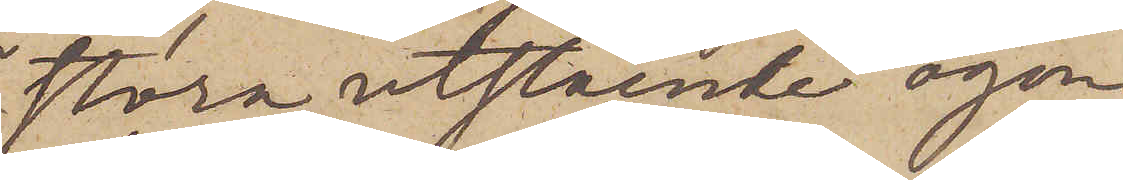stora utstående ögon
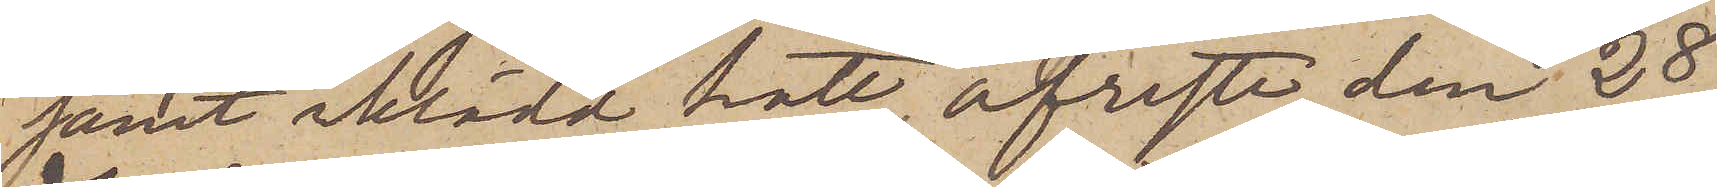samt iklädd hatt, afreste den 28
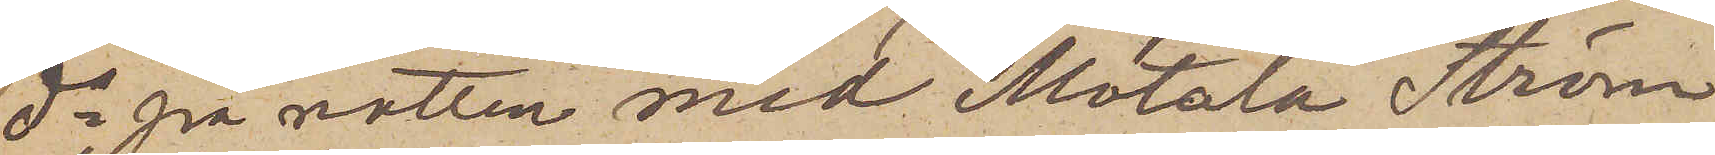ds på natten med Motala Ström
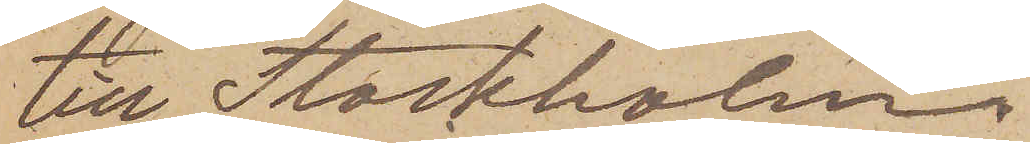till Stockholm.
